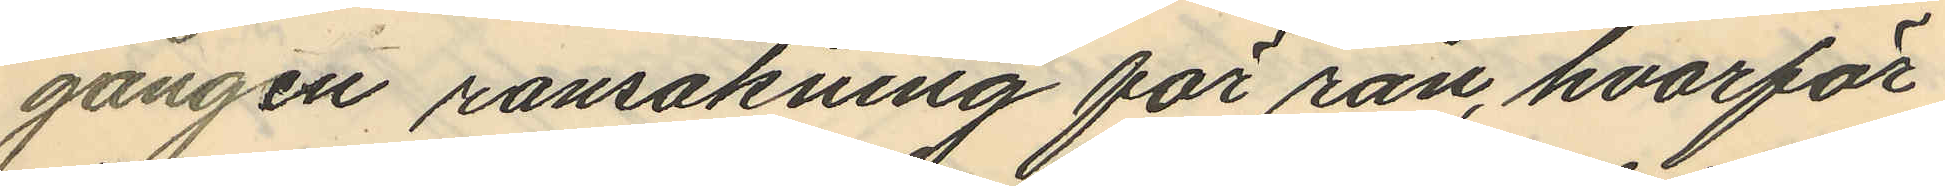gången ransakning för rån, hvarför
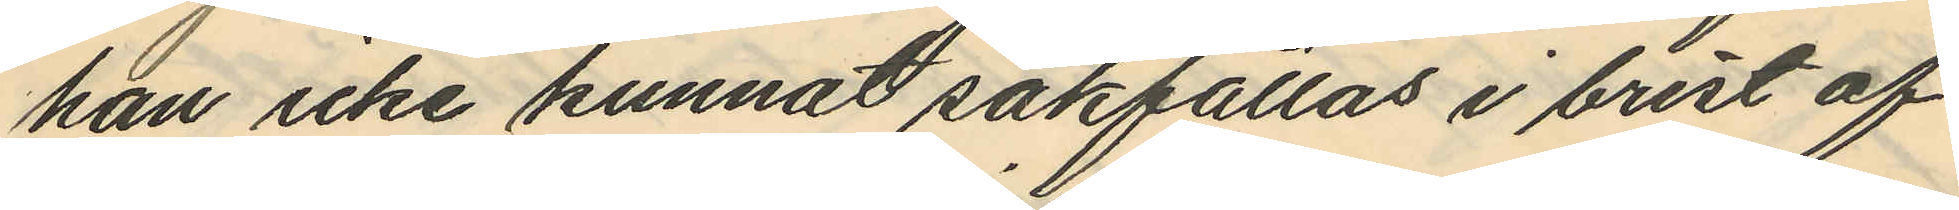han icke kunnat sakfällas i brist af
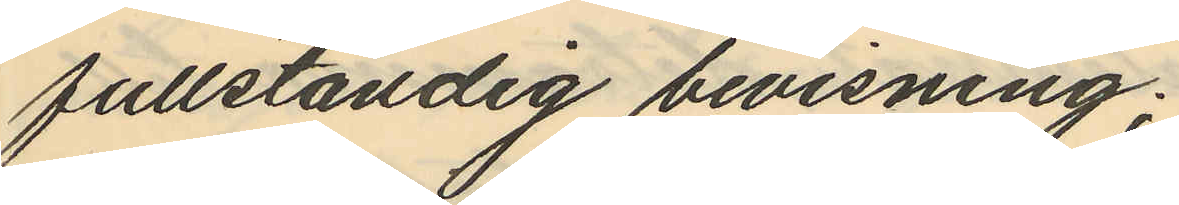fullständig bevisning.
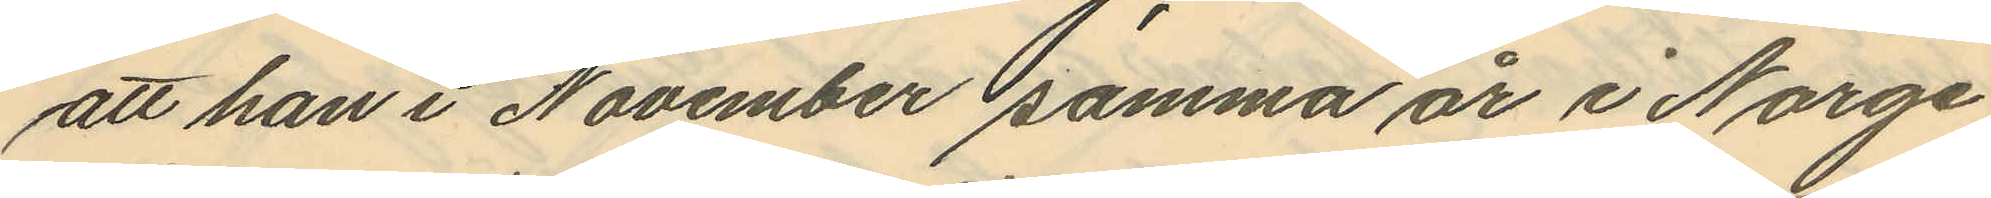att han i November samma år i Norge
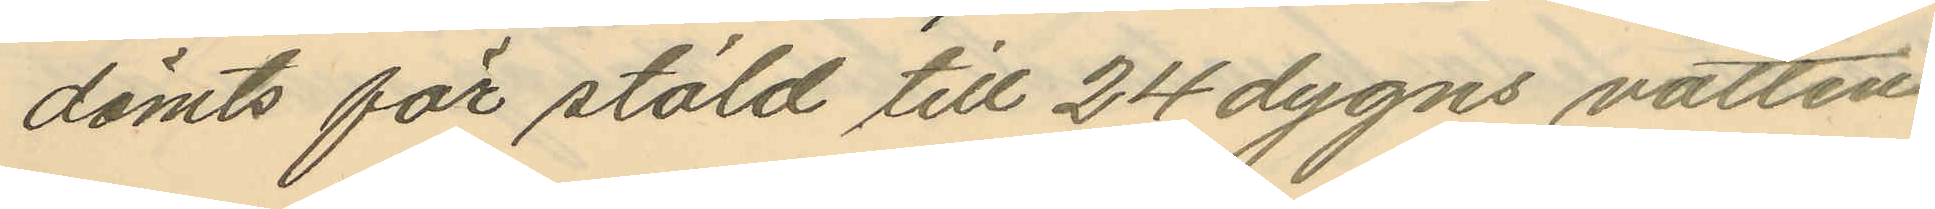dömts för stöld till 24 dygns vatten
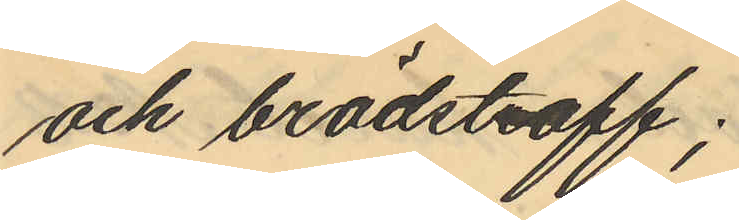och brödstraff;
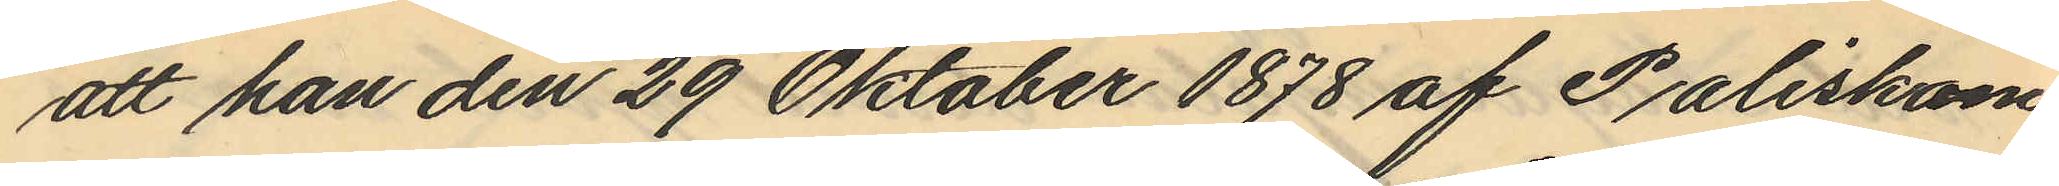att han den 29 Oktober 1878 af Poliskam¬
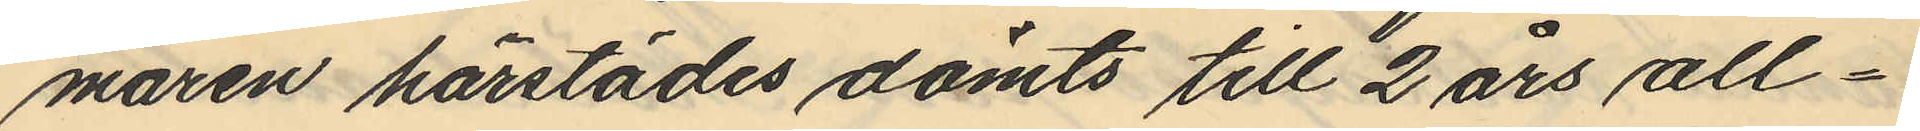maren härstädes dömts till 2 års all¬
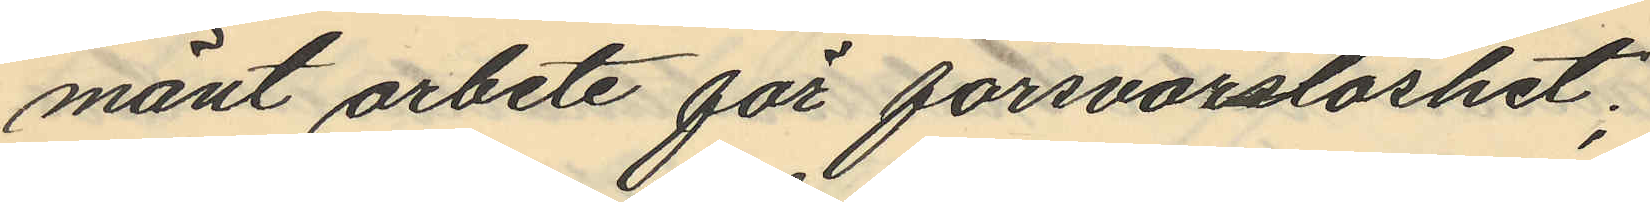mänt arbete för försvarslöshet;
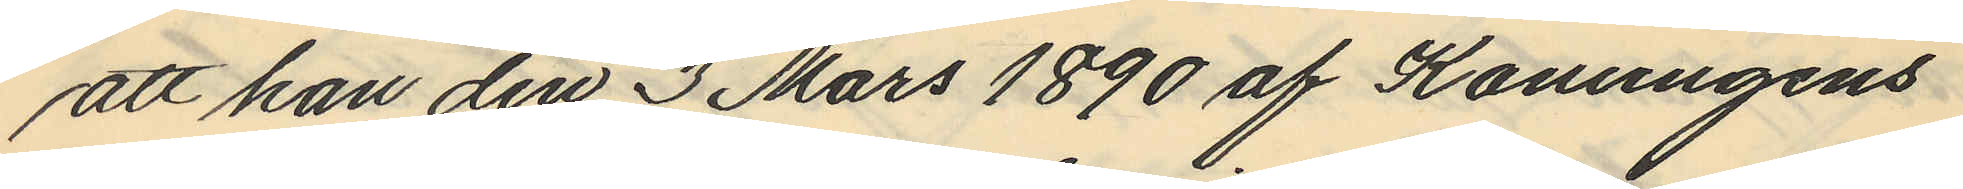att han den 3 Mars 1890 af Konungens
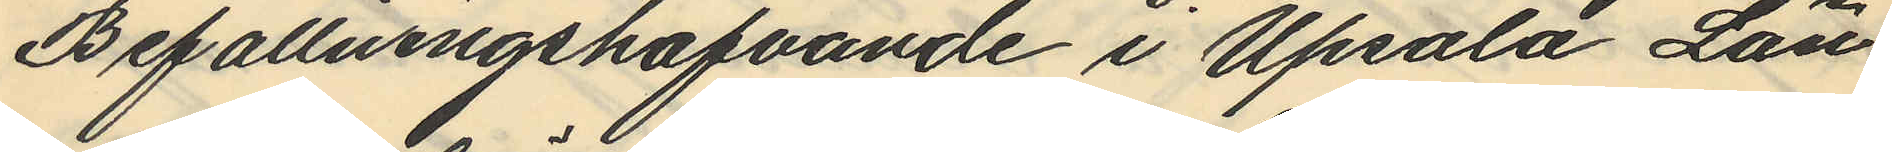Befallningshafvande i Upsala Län
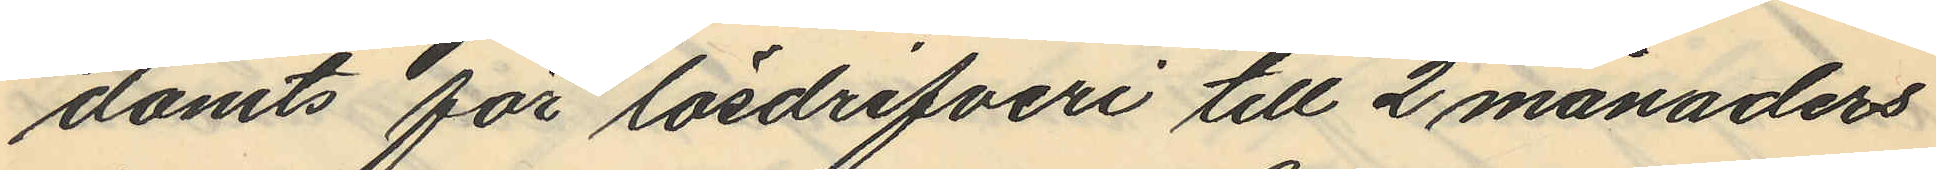dömts för lösdrifveri till 2 månaders
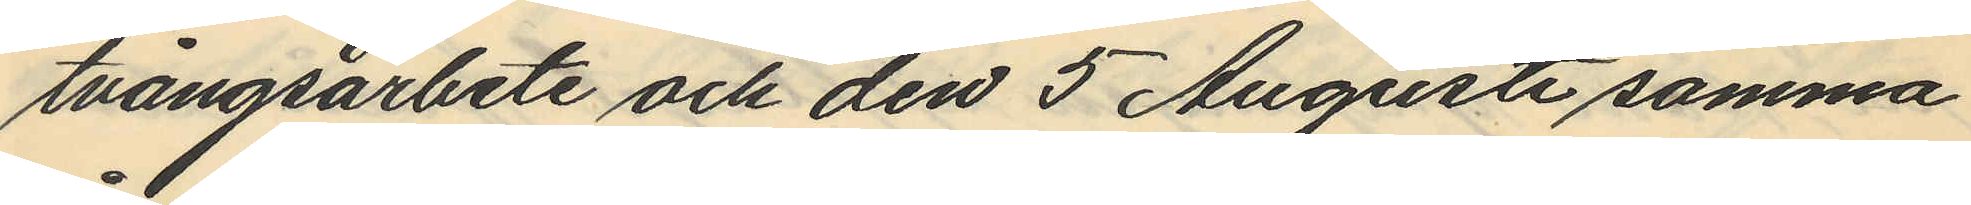tvångsarbete och den 5 Augusti samma
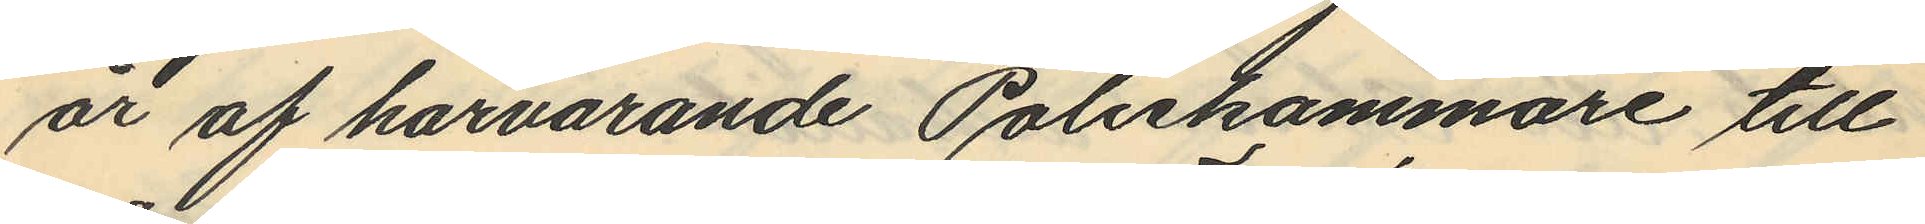år af härvarande Poliskammare till
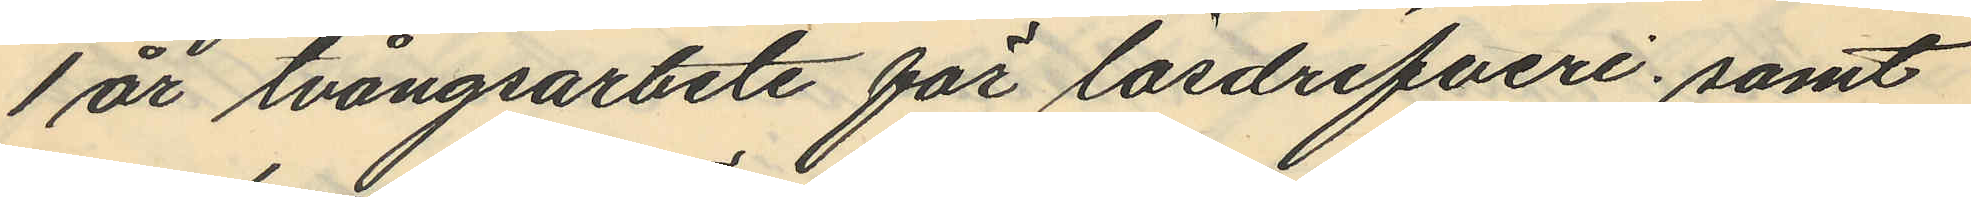1 år tvångsarbete för lösdrifveri; samt
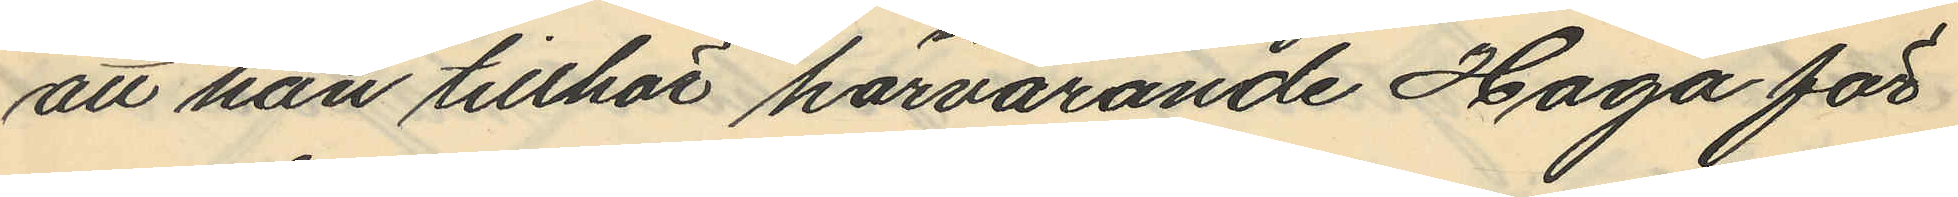att han tillhör härvarande Haga för
